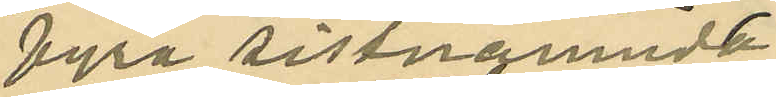fyra sistnämnde
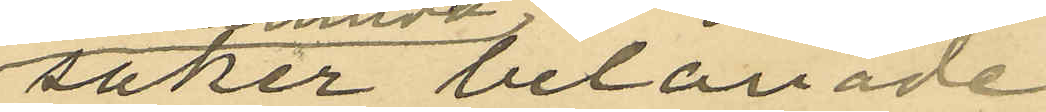saker belånade
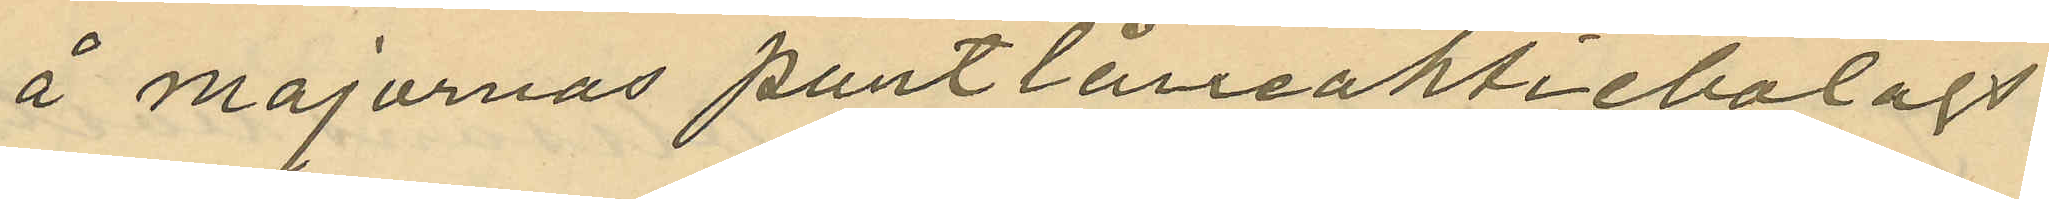å Majornas pantlåneaktiebolags
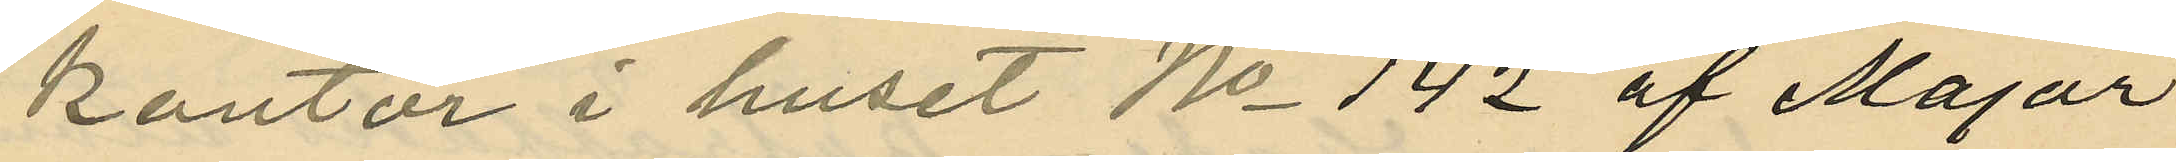kontor i huset No 142 af Major¬
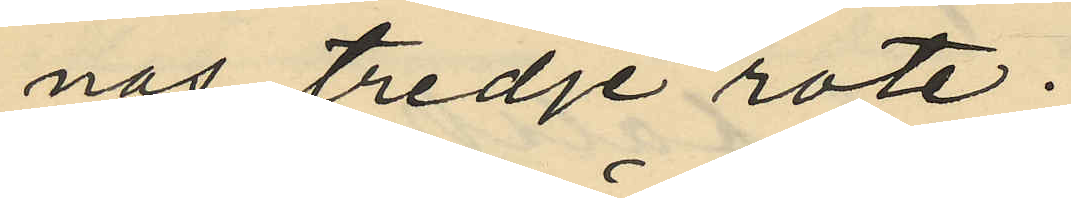nas tredje rote.
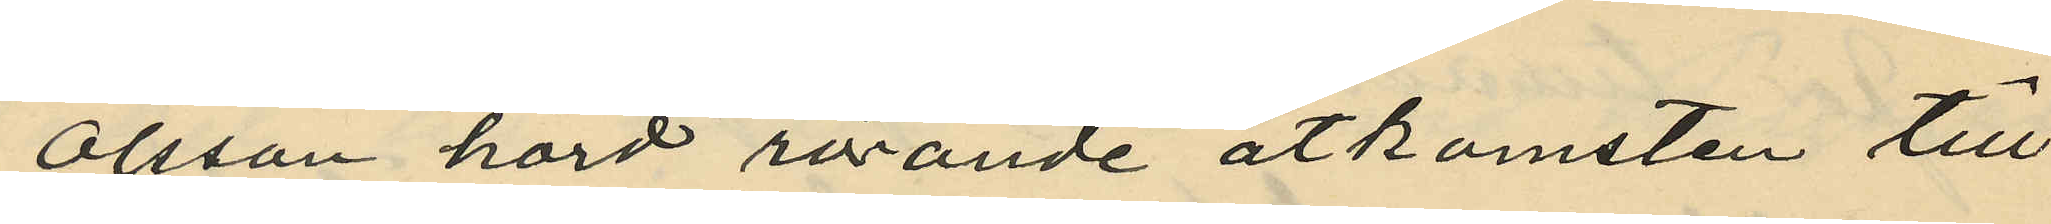Olsson hörd rörande åtkomsten till
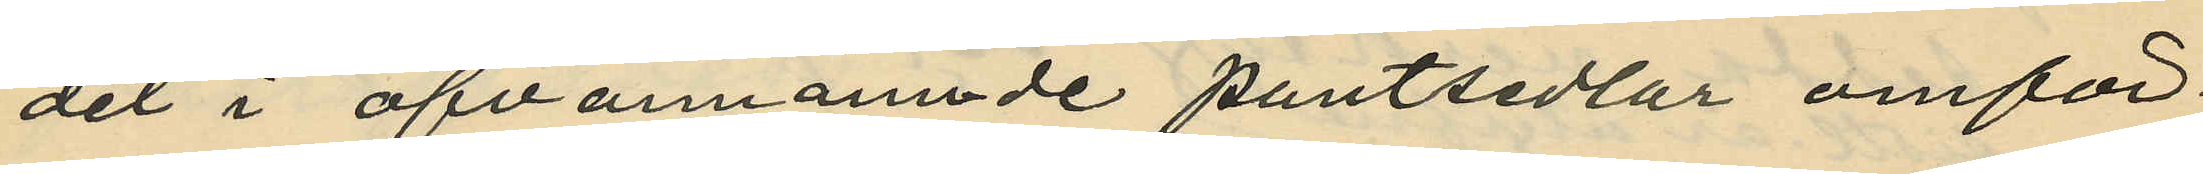det i ofvannämnde pantsedlar omför¬
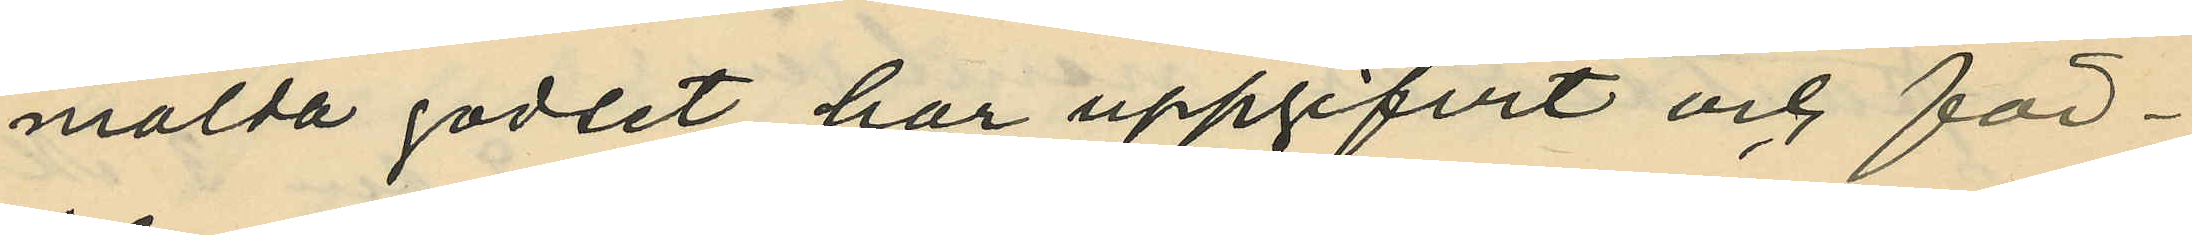mälda godset, har uppgifvit och för¬
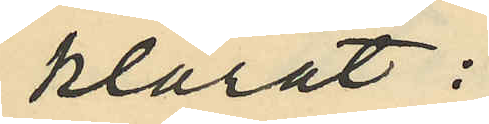klarat:
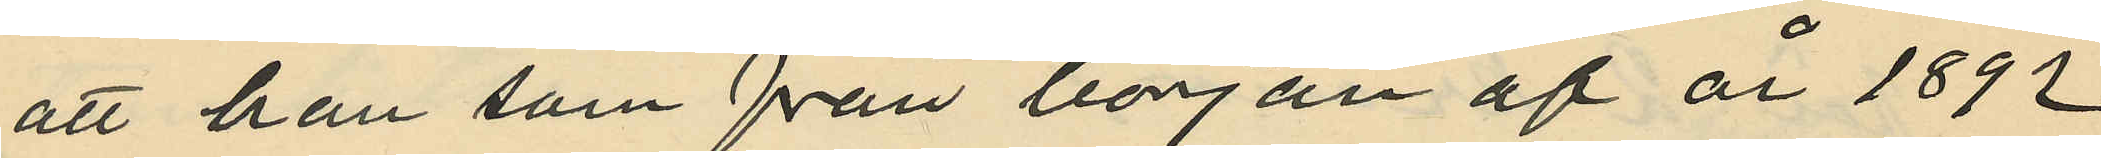att han som från början af år 1892
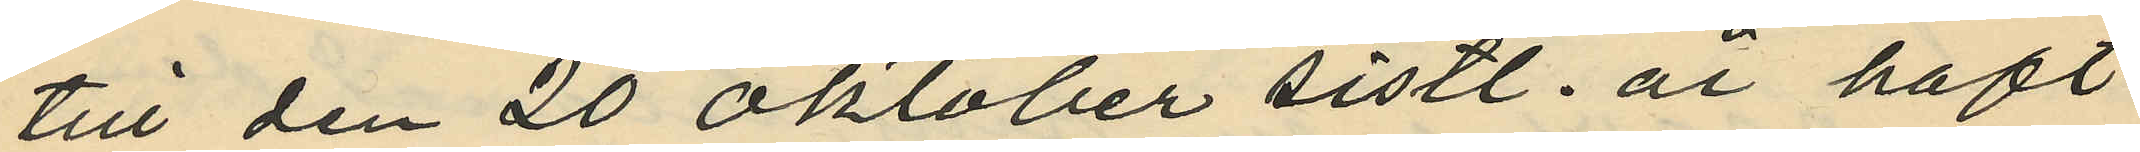till den 20 Oktober sistl. år haft
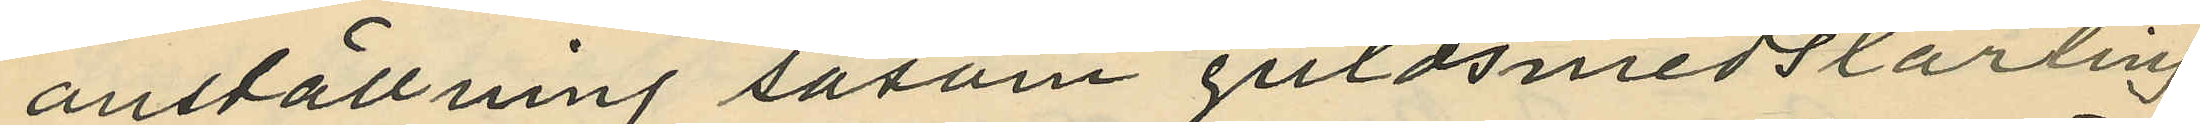anställning såsom guldsmedslärling
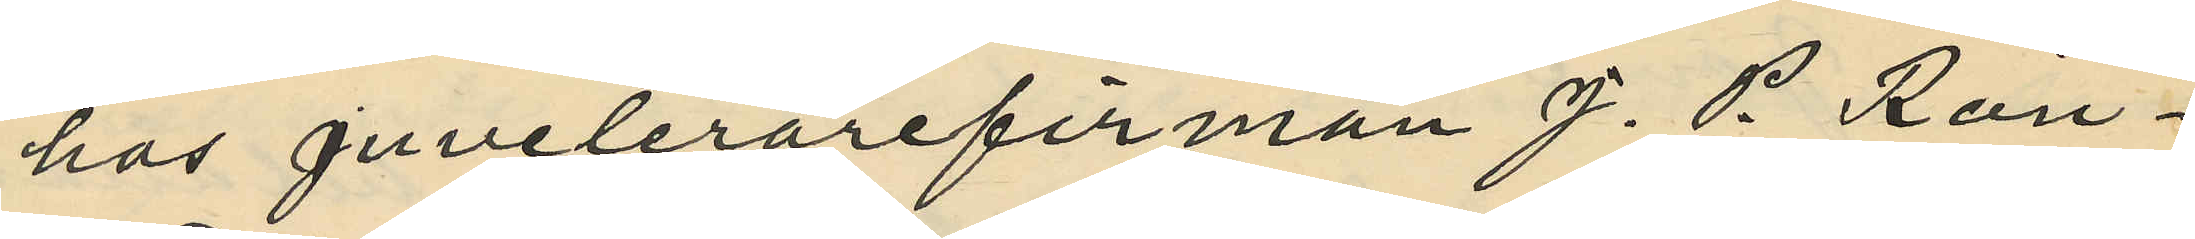hos Juvelerarefirman J. P. Rön¬
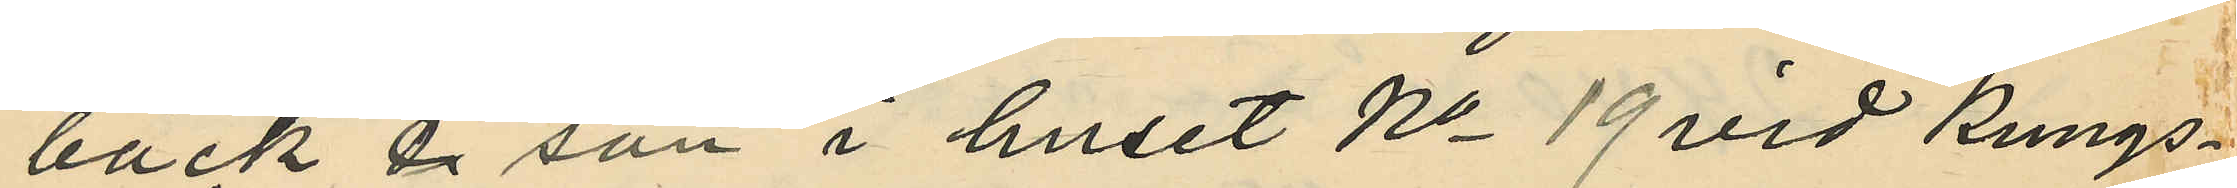bäck & son i huset No 19 vid Kungs¬
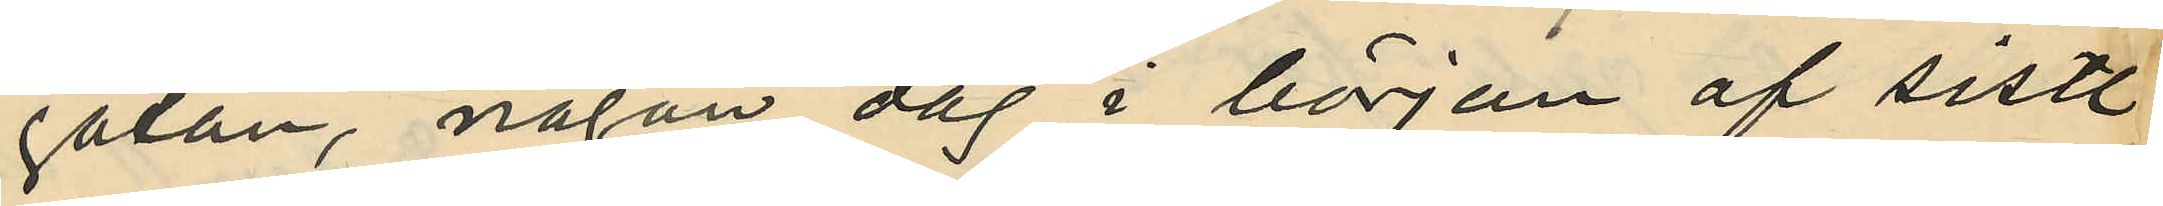gatan, någon dag i början af sistl.
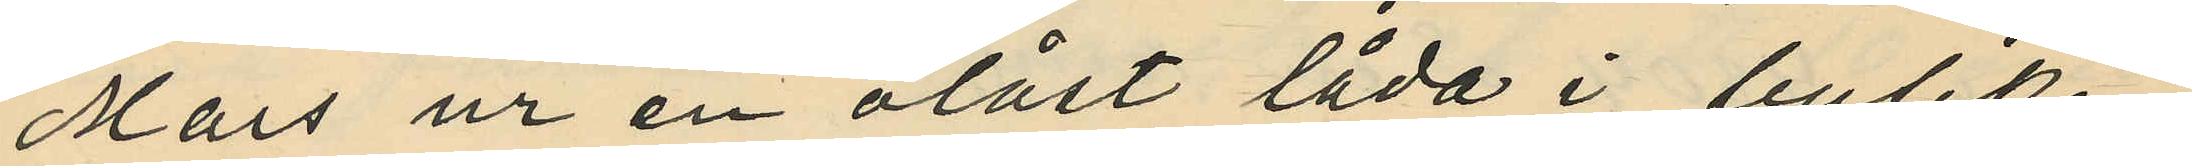Mars ur en olåst låda i butiken
